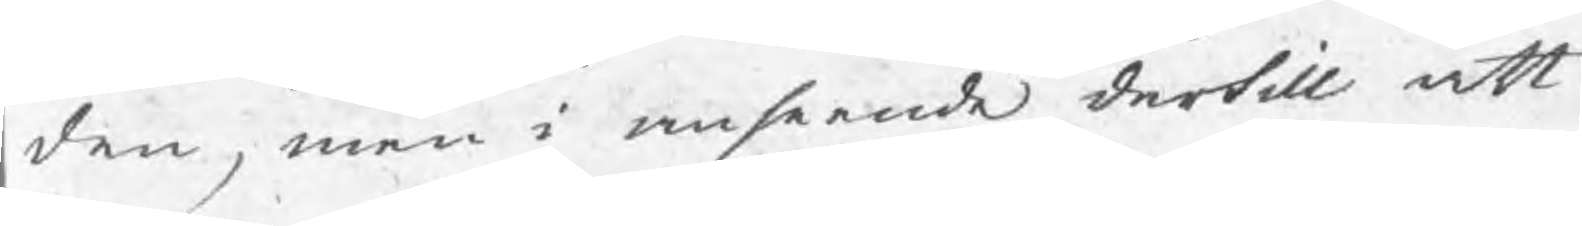den, men i anseende dertill att
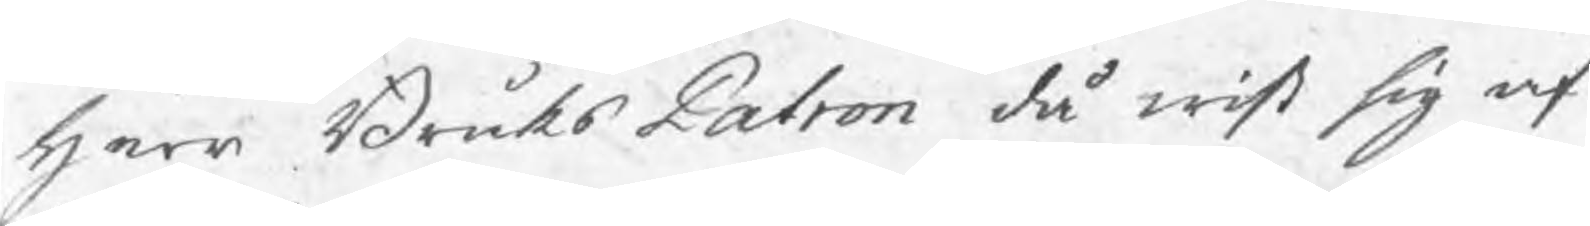herr BruksPatron då wist sig af
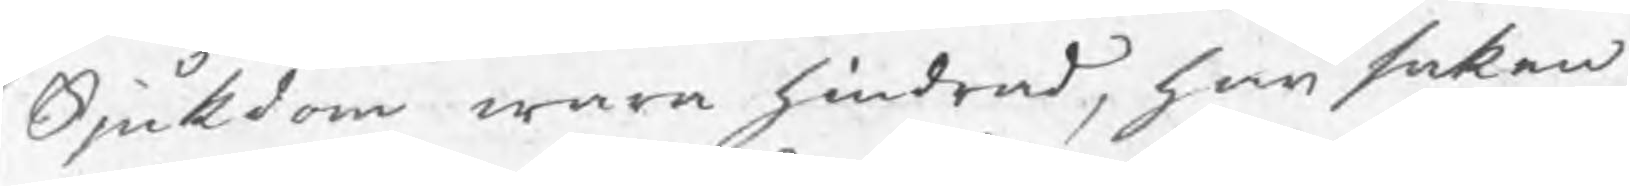Sjukdom wara hindrad, han saken
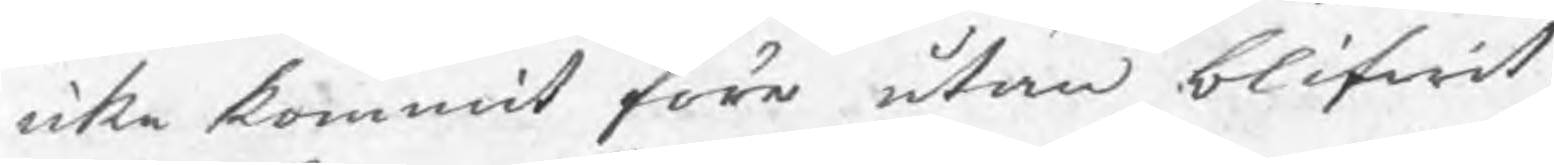icke kommit före utan blifwit
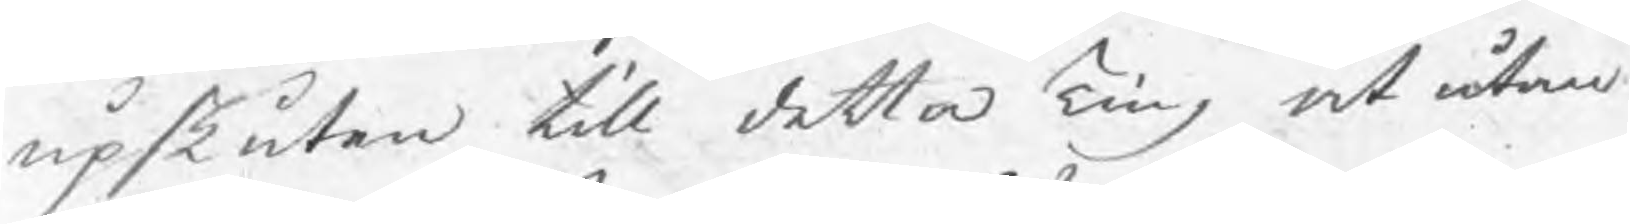upskuten till detta Ting at utan
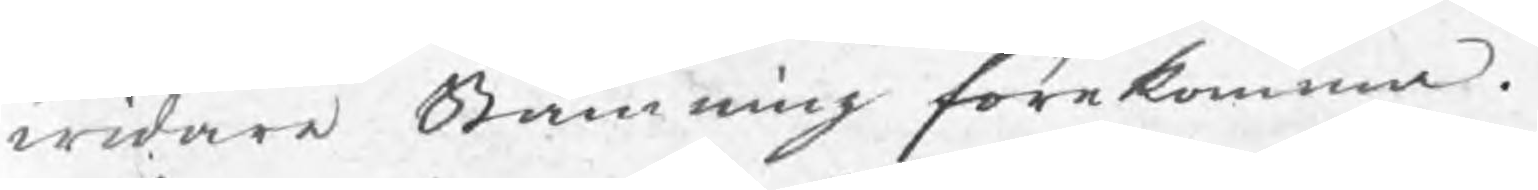widare Stämning förekomma.
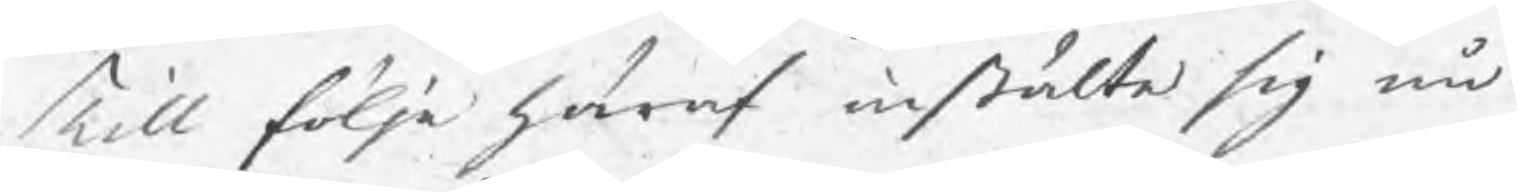Till följe häraf instälte sig nu
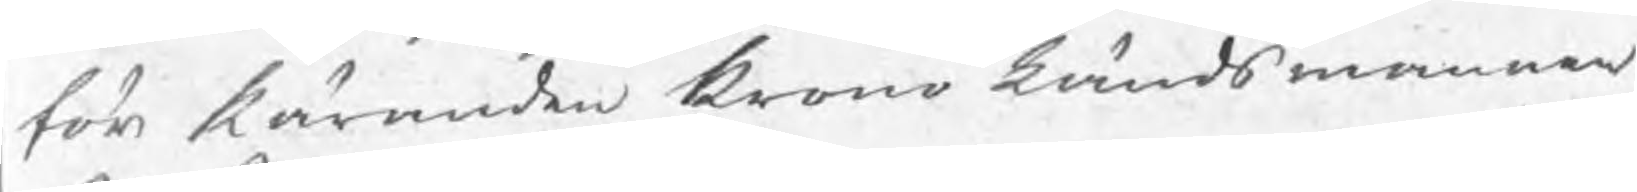för käranden krono Ländsmannen
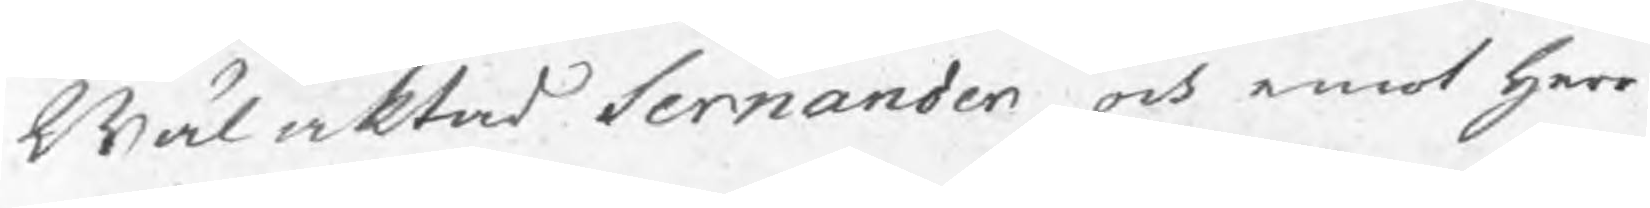Wäl aktad Sernander och emot herr
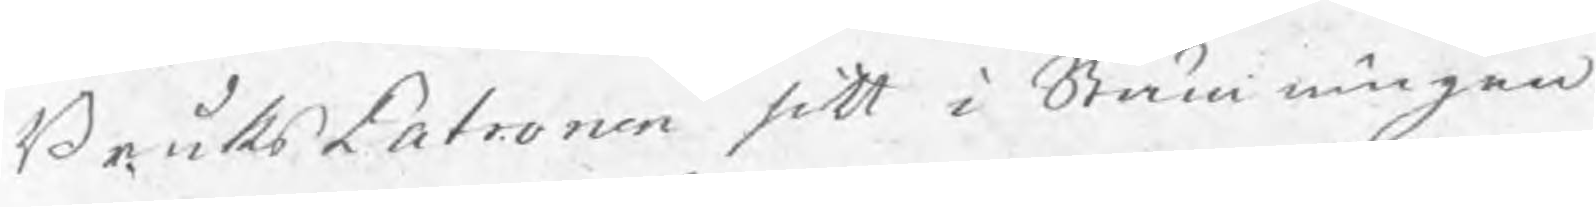BruksPatronen sitt i Stämningen
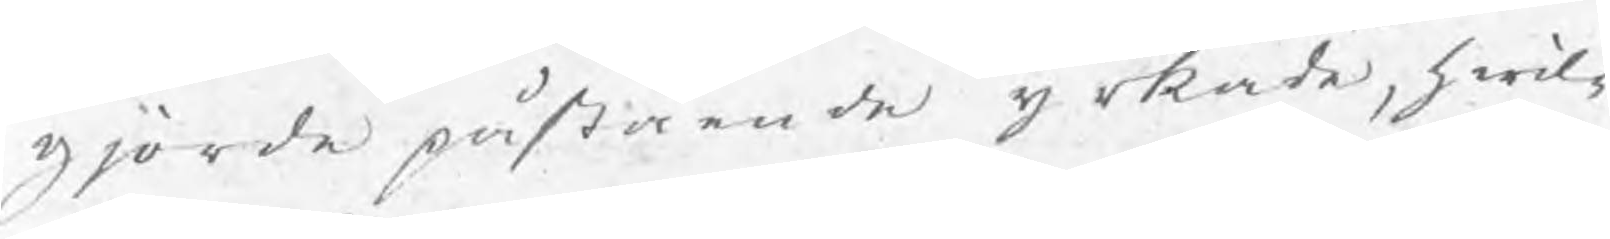gjorde påstående yrkade, hwil¬
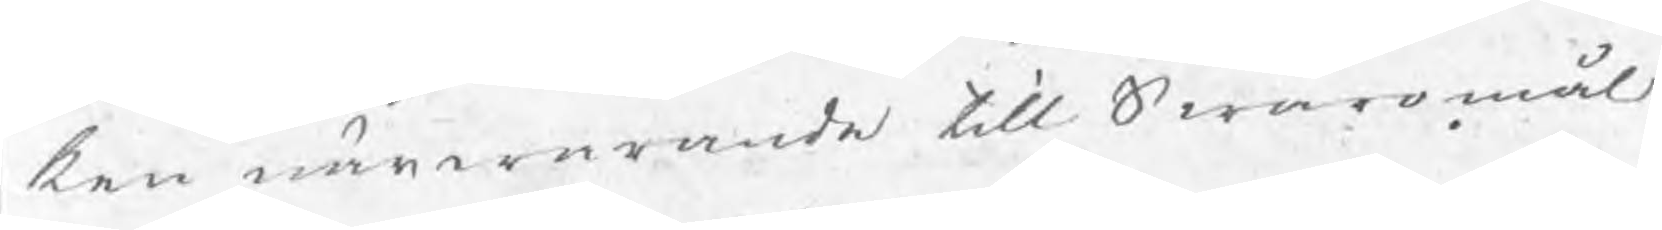ken närwarande till Swaromål
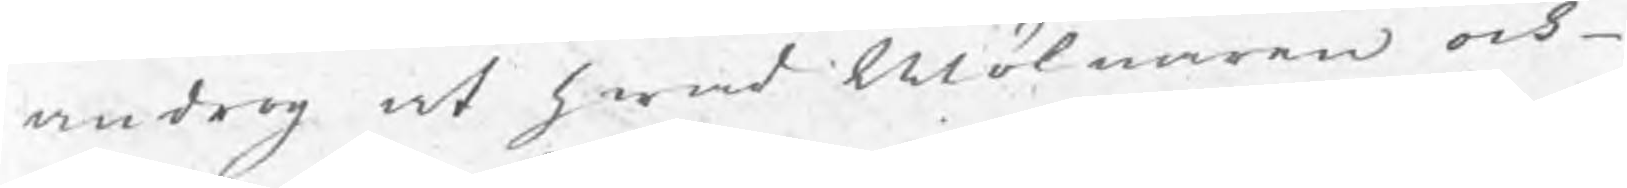androg at hwad Mölnaren och
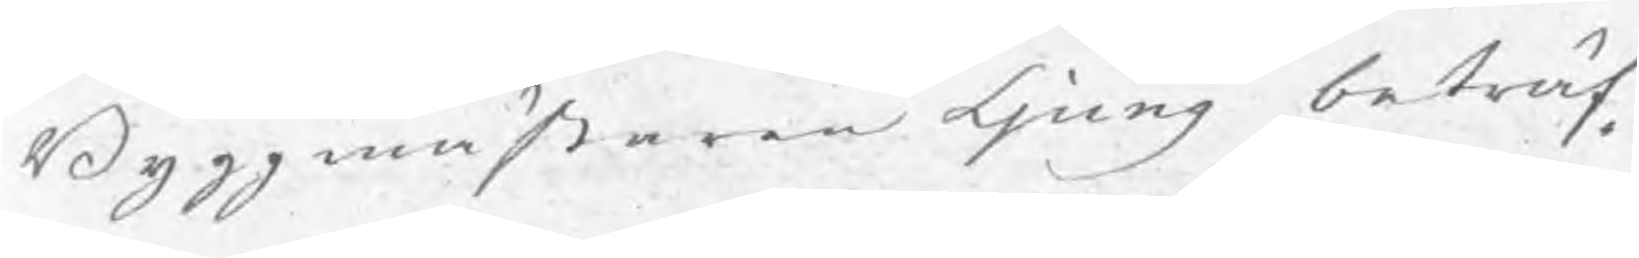Byggmästaren Ljung beträf¬
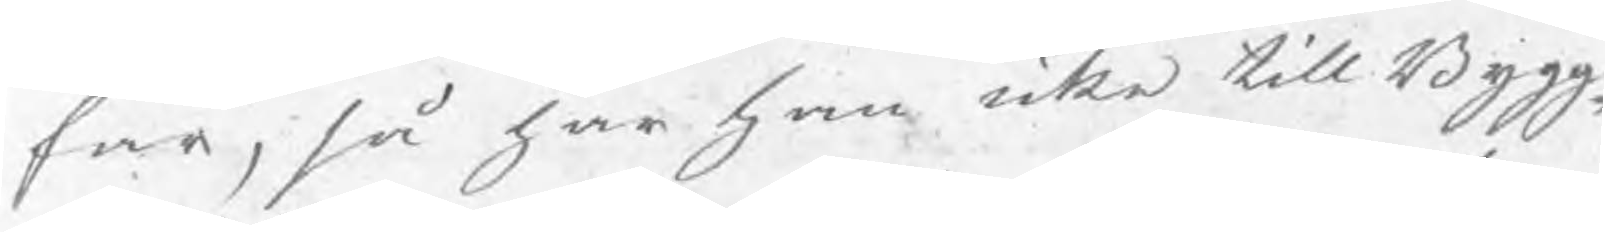far, så har han icke till Bygg¬
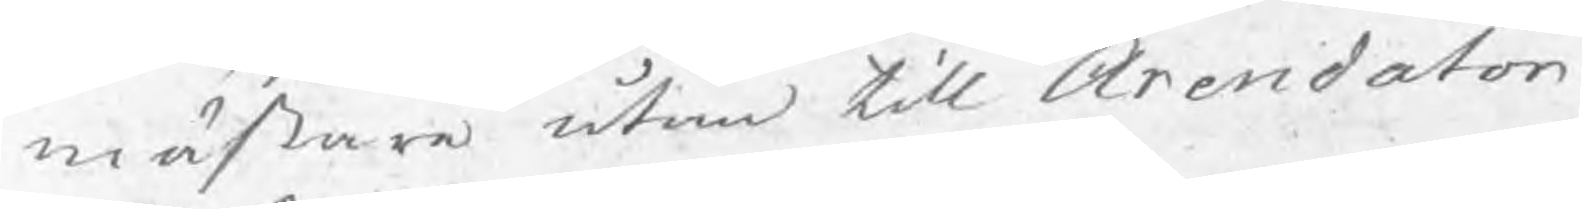mästare utan till Arendator
